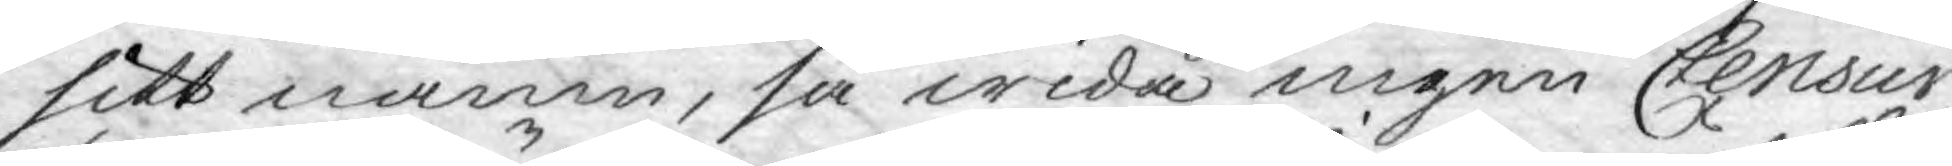sitt namn, så wida ingen Censur
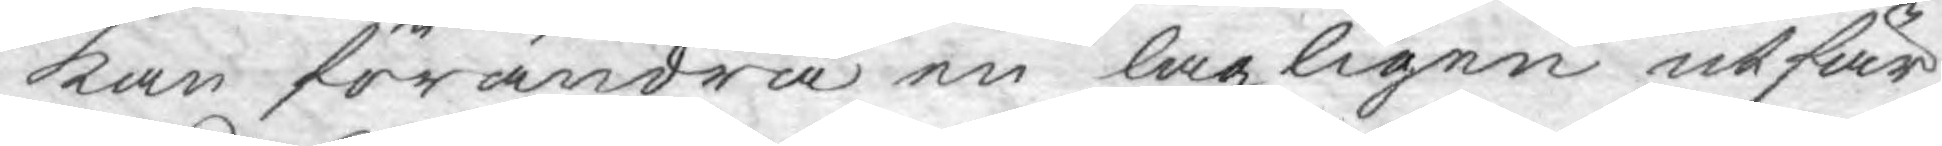kan förändra en lagligen utfär¬
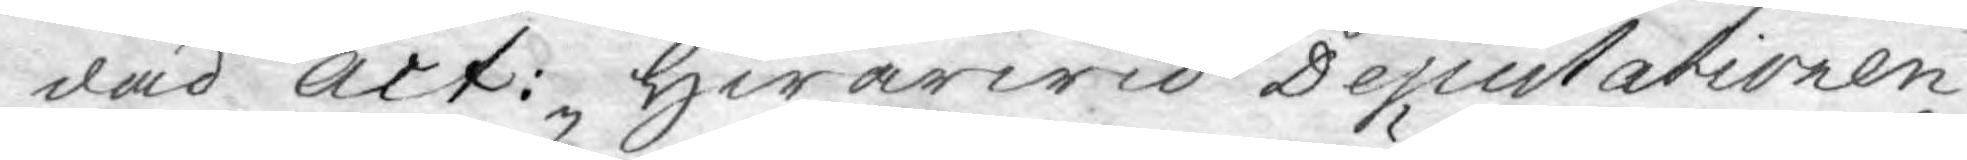dad act: Hwarwid Deputationen
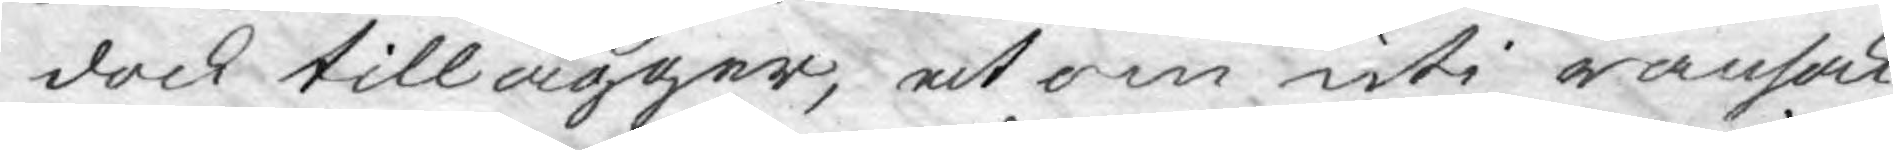dock tillägger, at om uti ransak¬
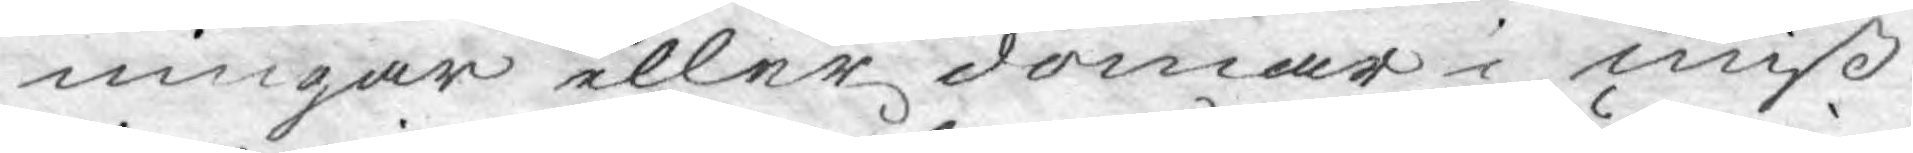ningar eller domar i miß¬
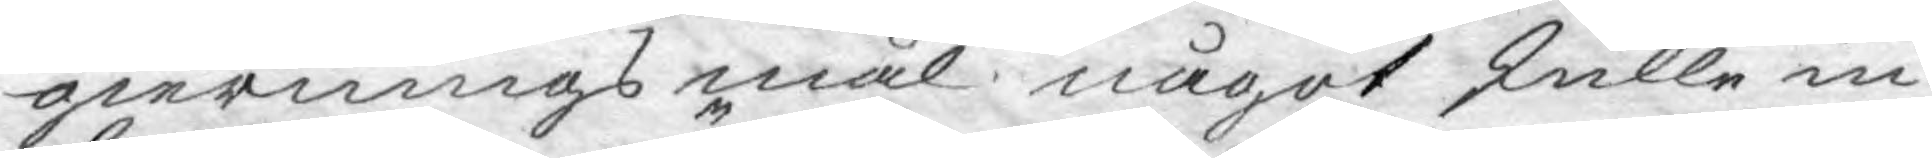giernings mål något skulle in¬
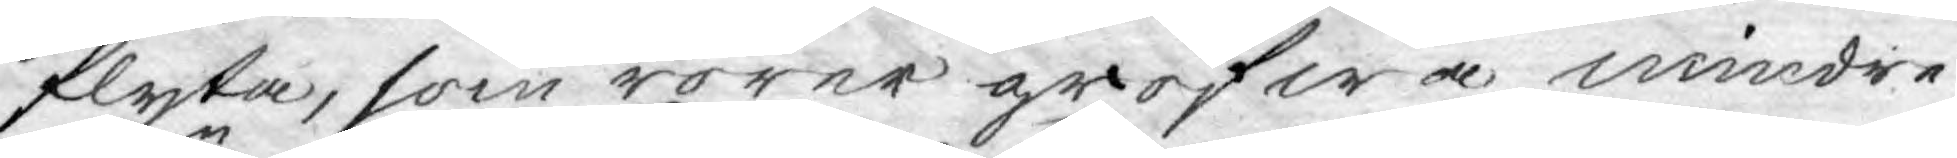flyta, som rörer grofwa mindre
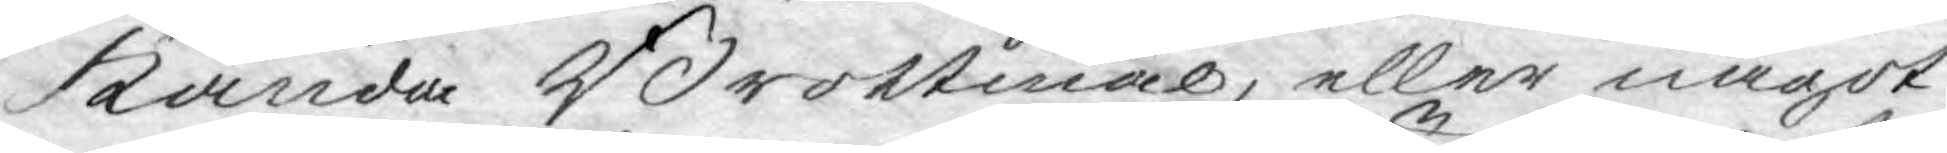kända Brottmål, eller något
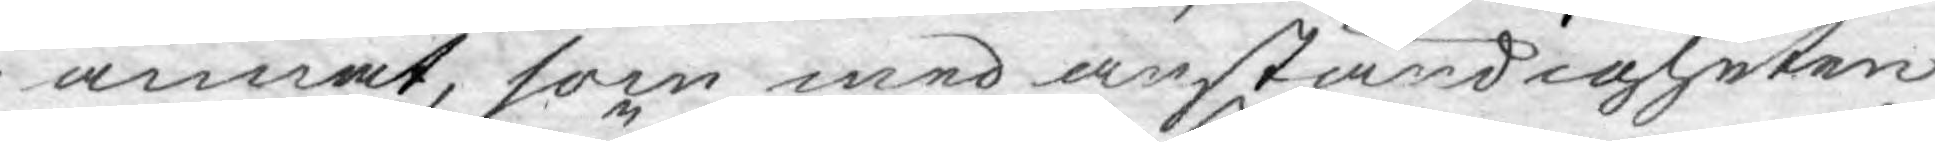annat, som med anständigheten
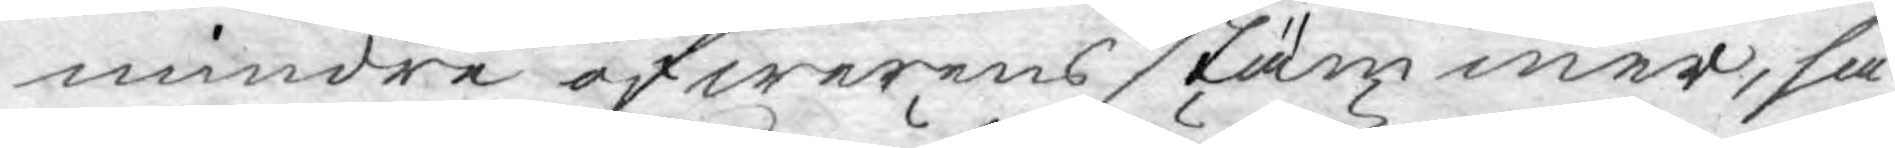mindre öfwerens stämmer, så¬
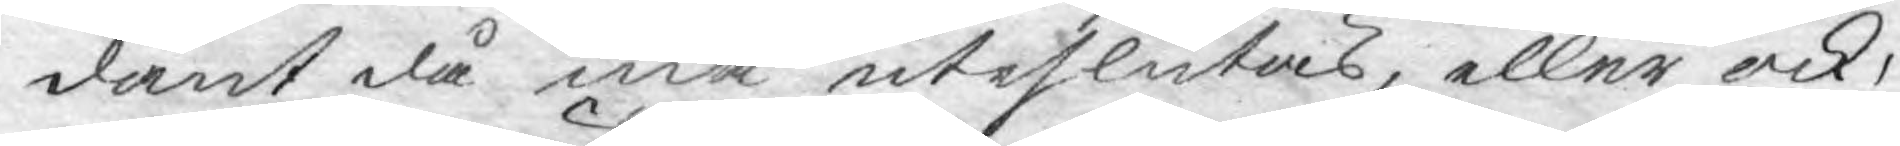dant då må uteslutas, eller ock,
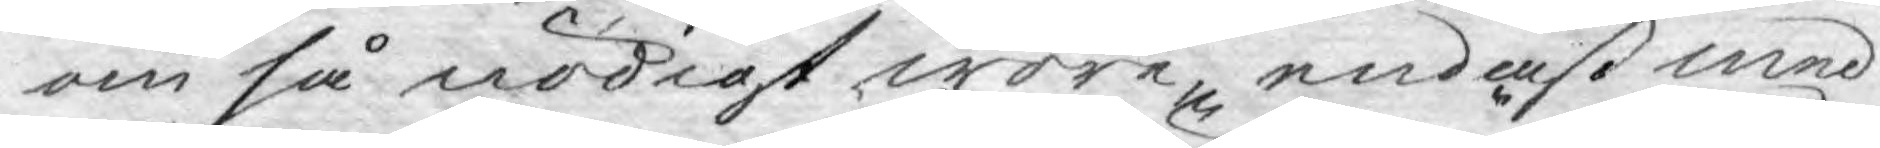om så nödigt wore, endast med
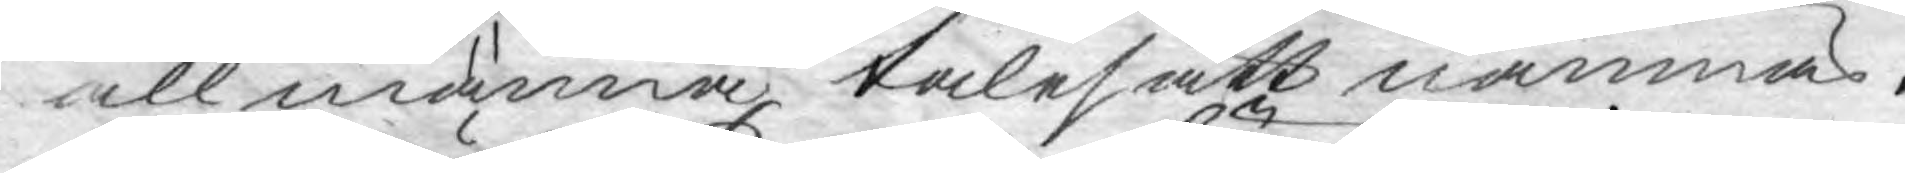allmänna talesätt nämnas.
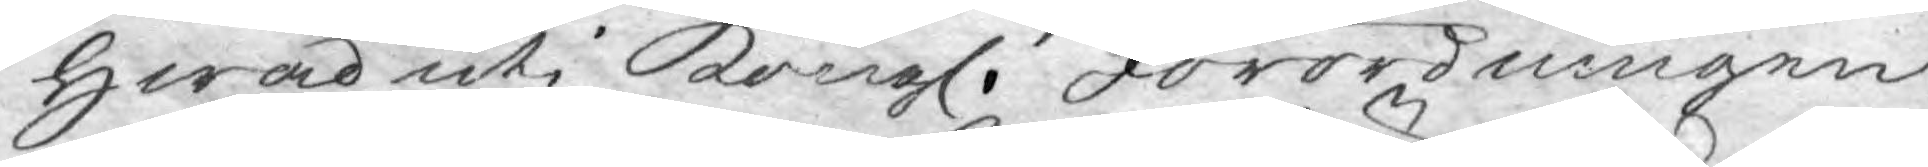Hwad uti Kongl. Förordningen
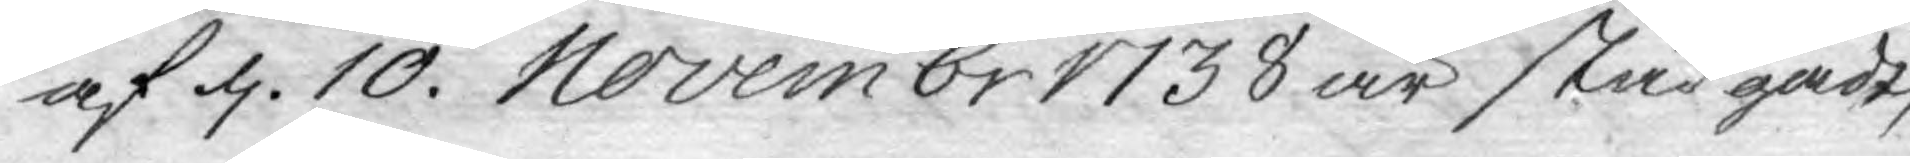af d. 10. Novembr 1738 år stadgadt,
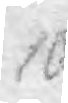10
